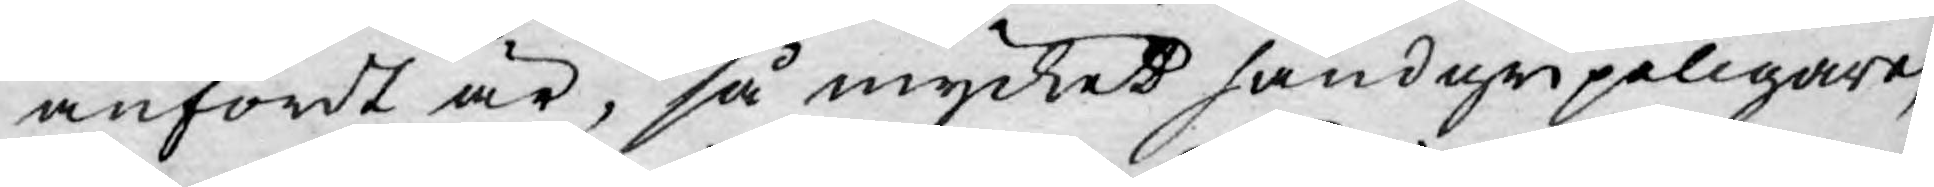anfördt är, så mycket handgripeligare,
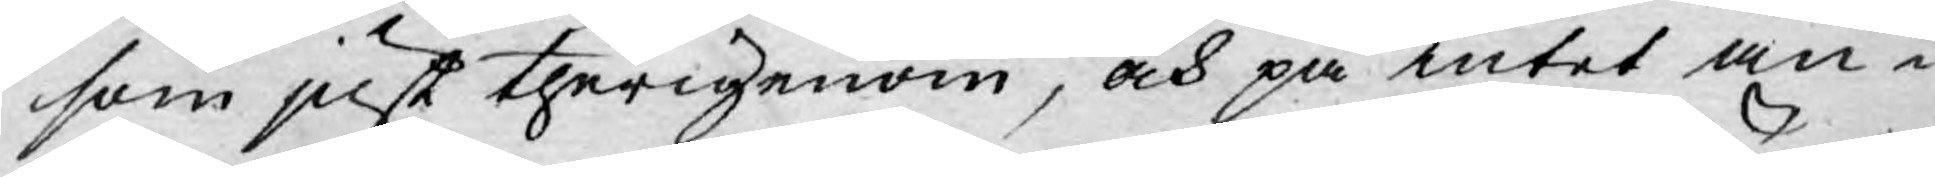som just therigenom, och på intet an¬
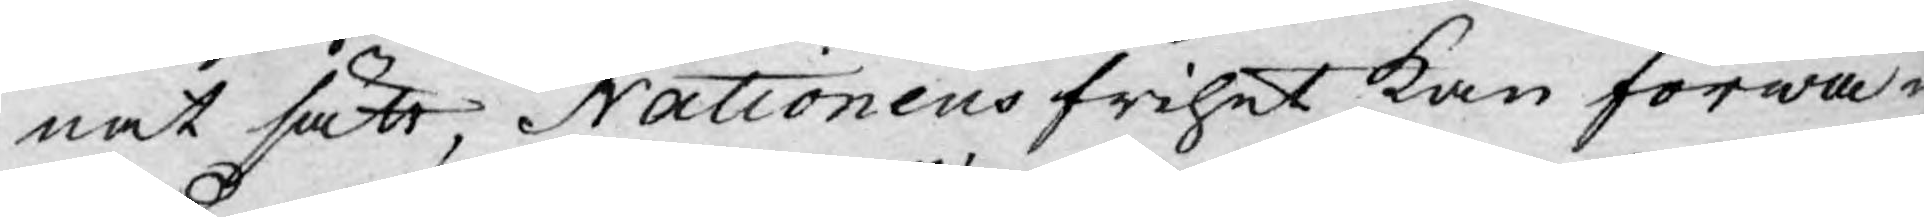nat sätt, Nationens frihet kan förwa¬
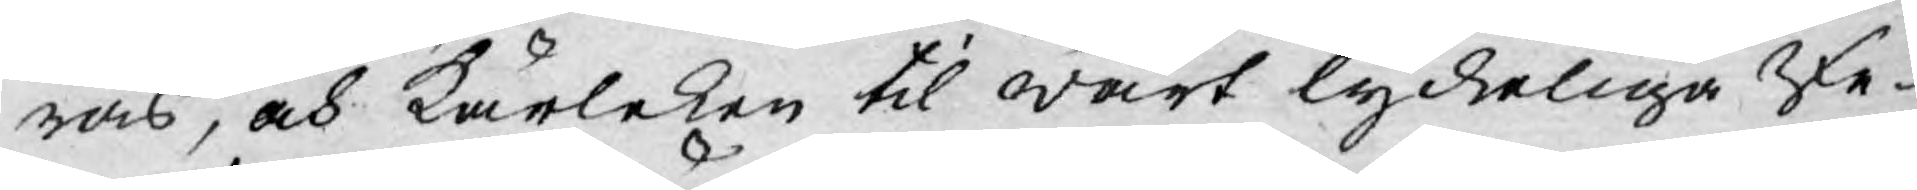ras, och kärleken til wårt lyckeliga Re¬
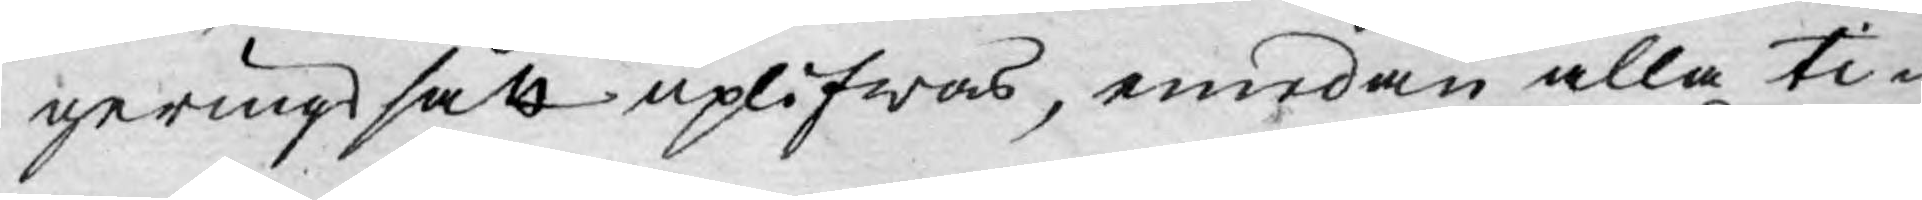geringssätt uplifwas, emedan alla ti¬
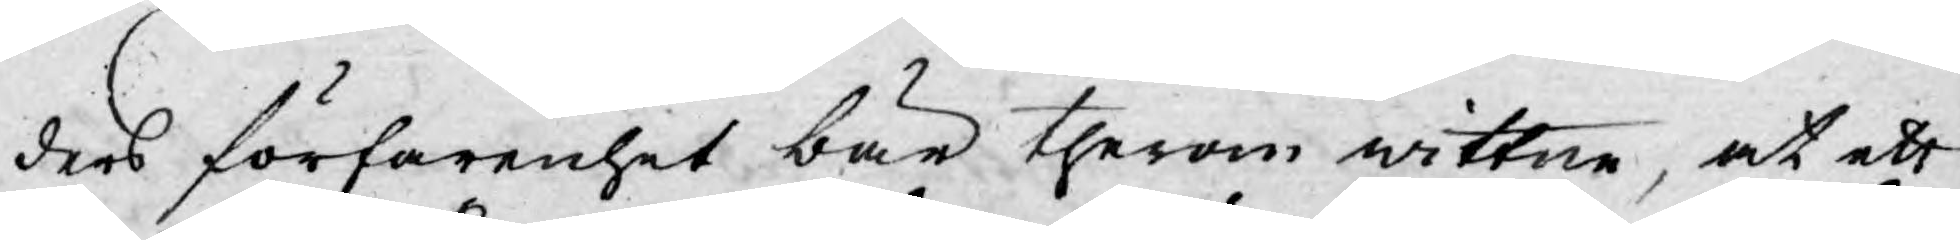ders förfarenhet bär therom wittne, at ett
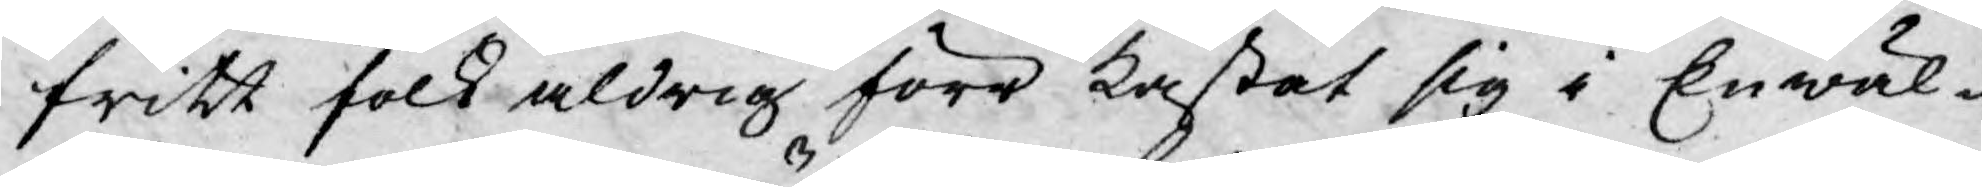fritt folk aldrig förr kastat sig i Enwäl¬
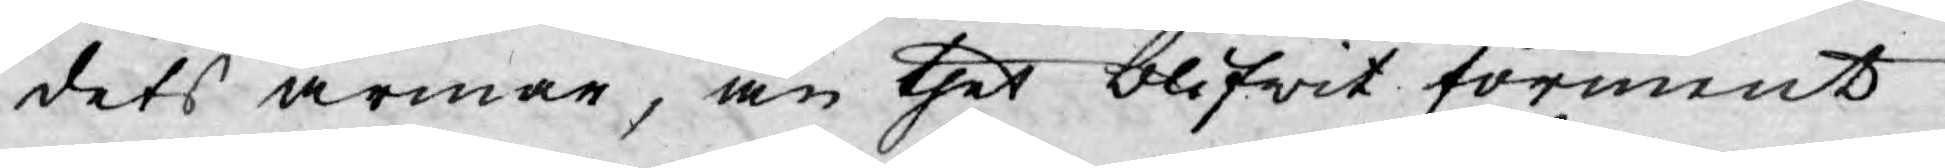dets armar, än thet blifwit förment
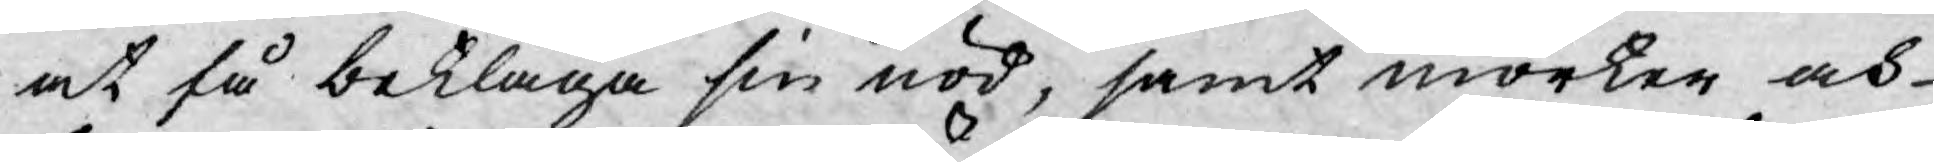at få beklaga sin nöd, samt mörker och-
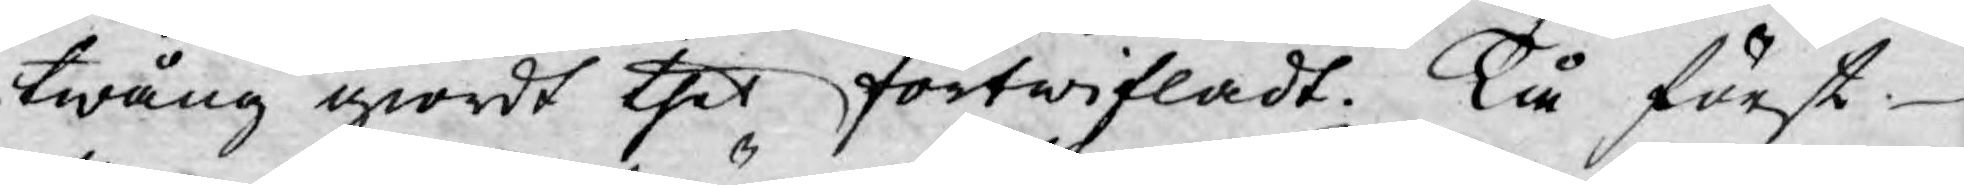twång giordt thet förtwifladt. Tå först
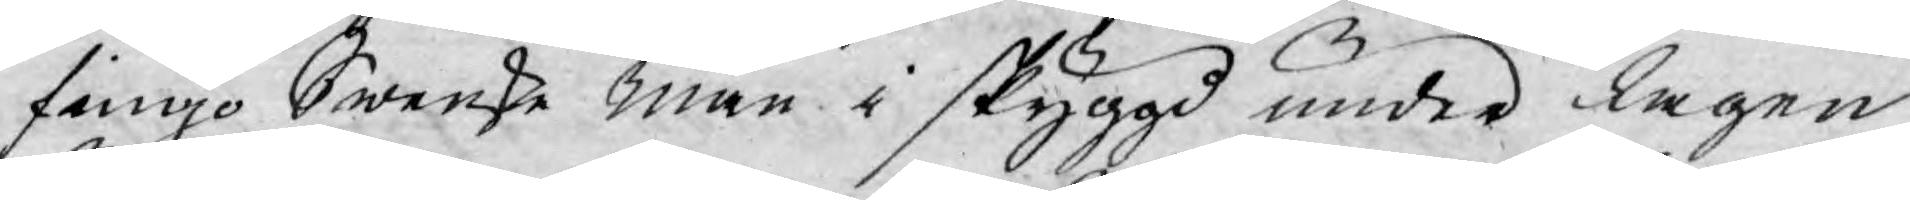fingo Swenske män i skyggd under lagen
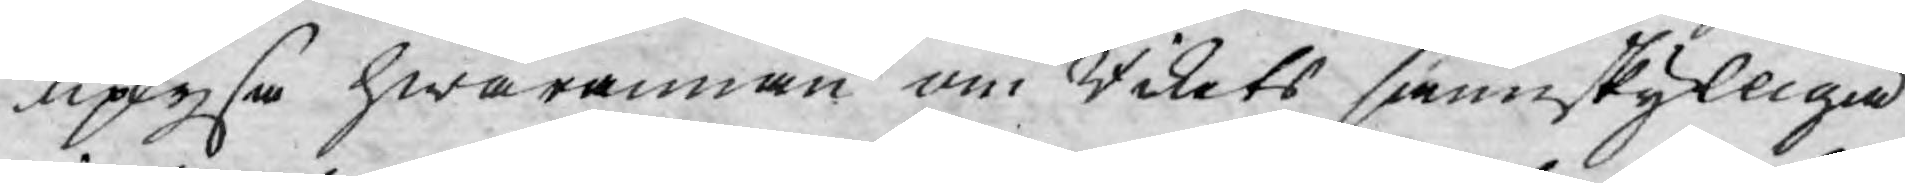uplysa hwarannan om Rikets sannskylliga
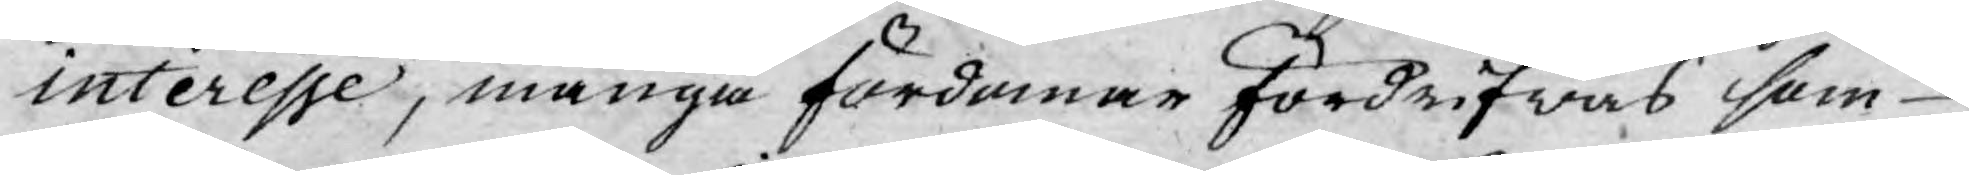interesse, många fördomar fördrifwas som
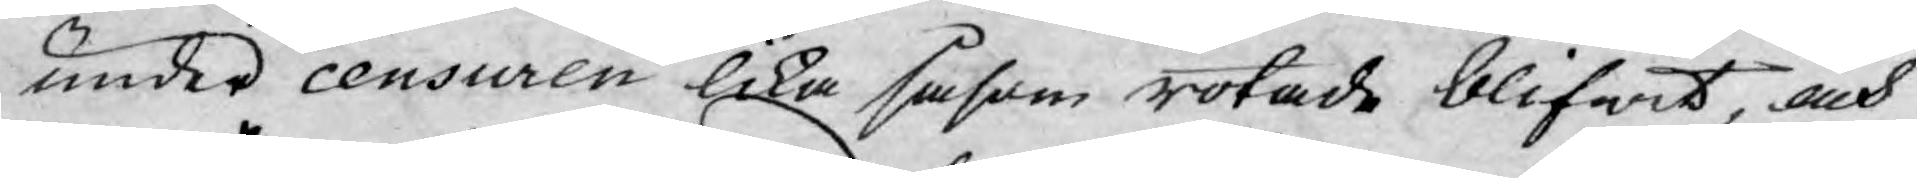under censuren lika såsom rotade blifwit, och
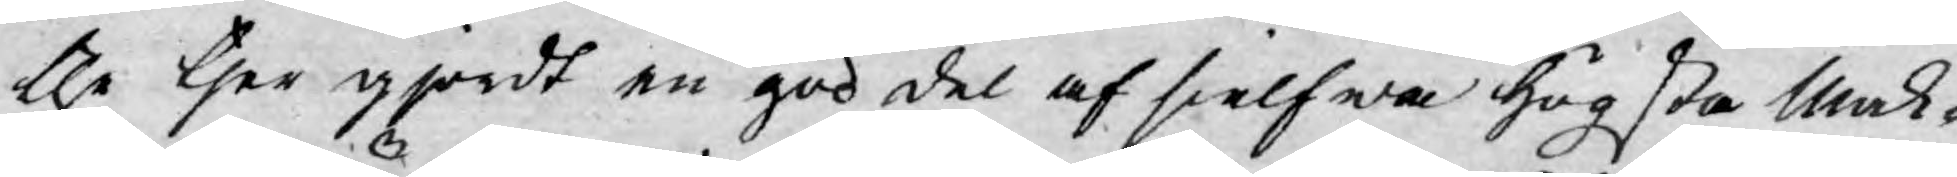the ther gjordt en god del af sielfwa högsta Mak¬
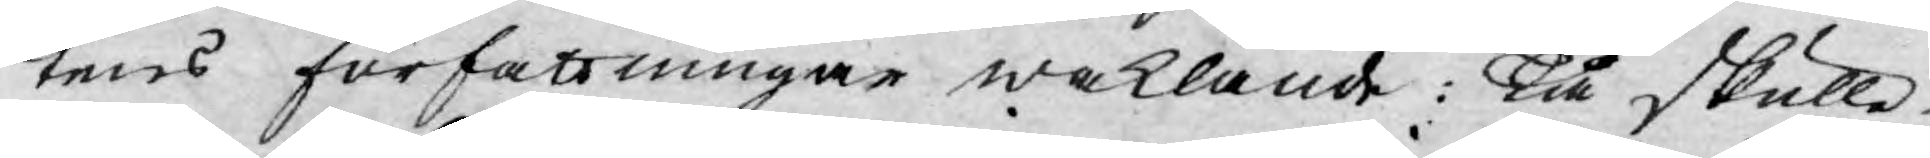tens författningar waklande: Tå skulle
